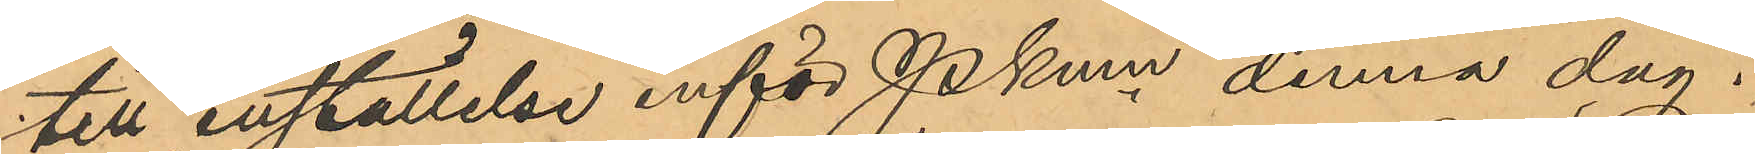till inställelse inför Pkmn denna dag.
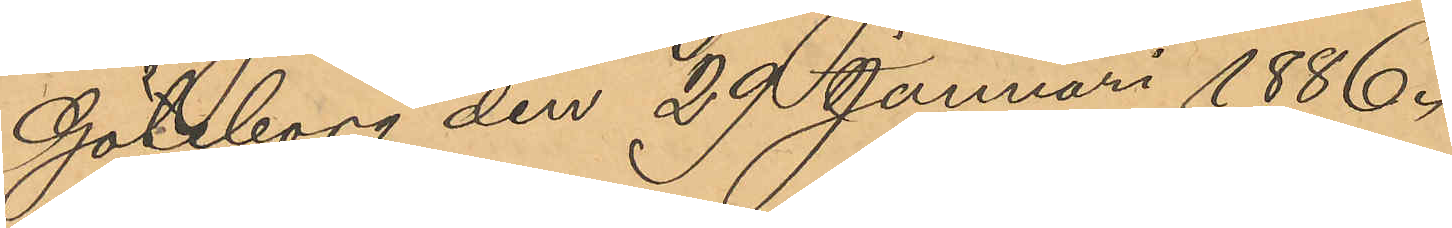Göteborg den 29 Januari 1886.
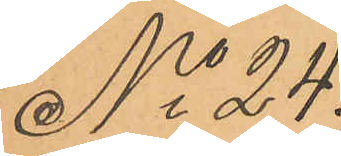No 24.
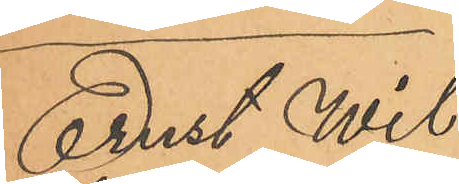Ernst Wil¬
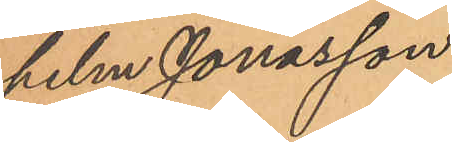helm Jonasson
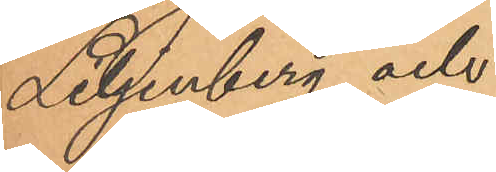Liljenberg och
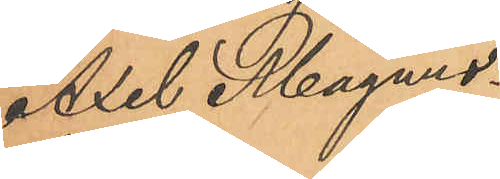Axel Magnus¬
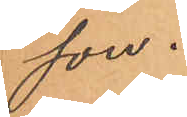son.
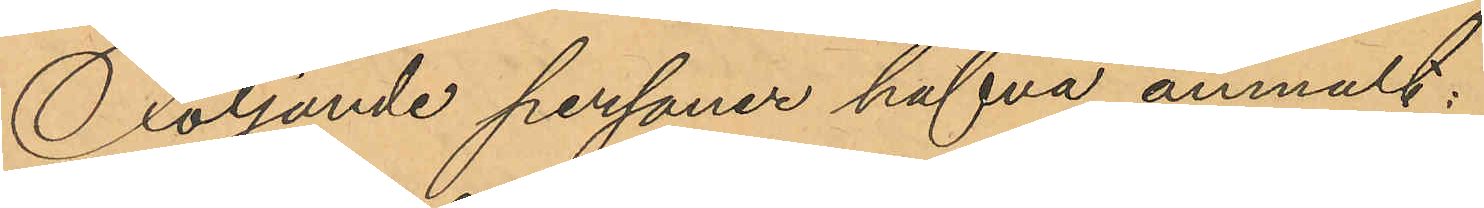Följande personer hafva anmält:
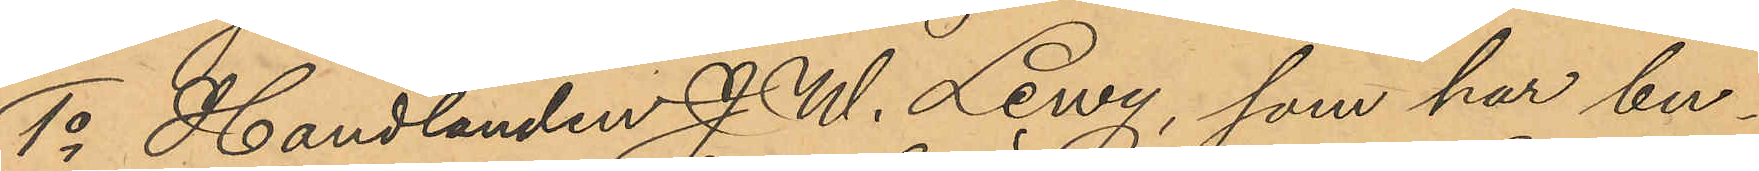1o Handlanden J. W. Lewy, som har but¬
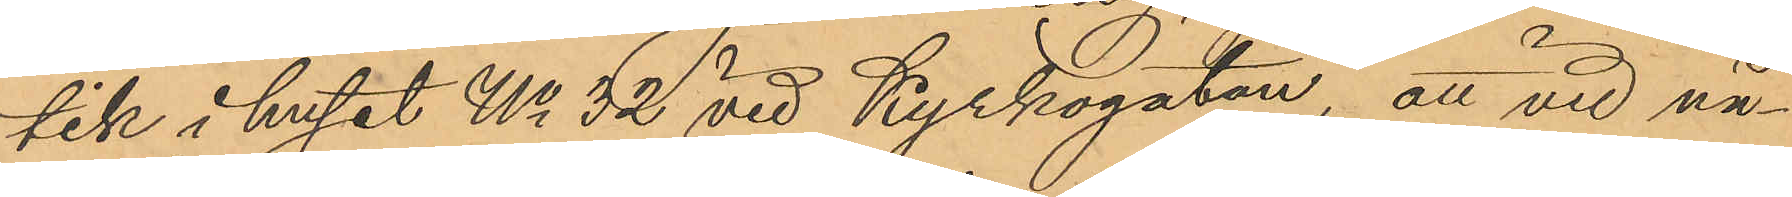tik i huset No 32 vid Kyrkogatan, att vid nå¬
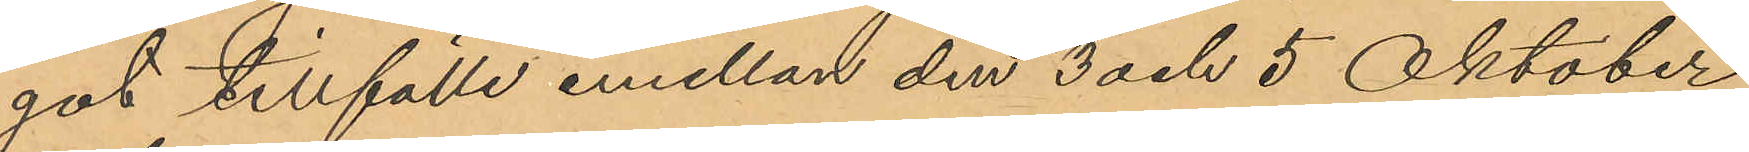got tillfälle emellan den 3 och 5 Oktober
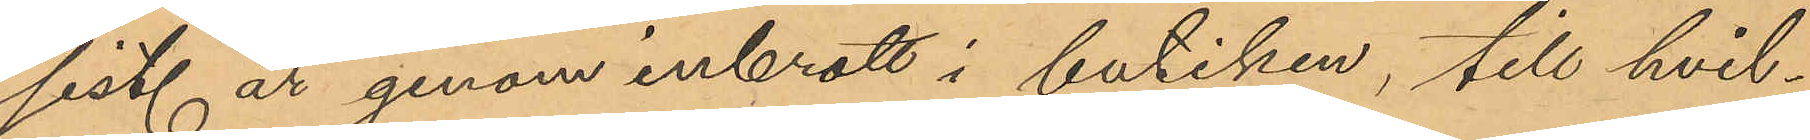sist. år genom inbrott i butiken, till hvil¬
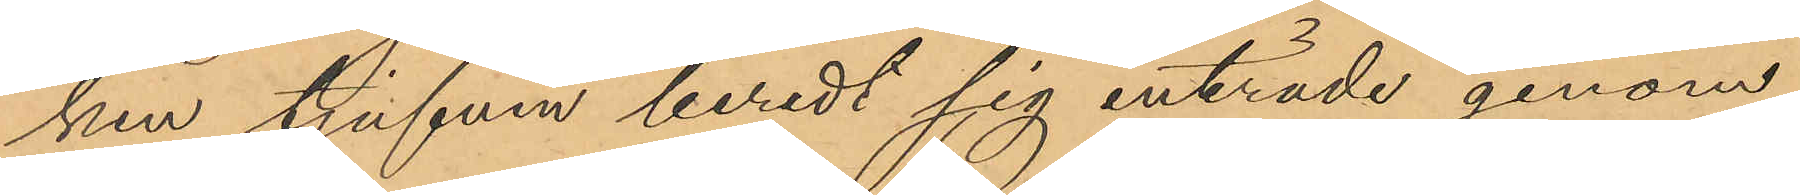ken tjufven beredt sig inträde genom
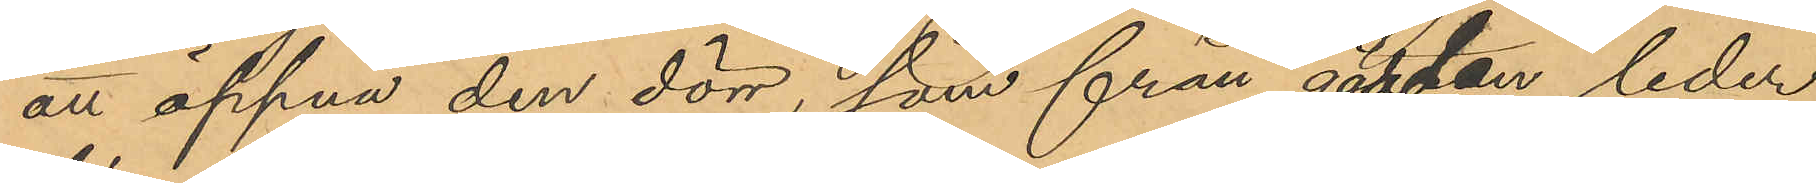att öppna den dörr, som från gården leder
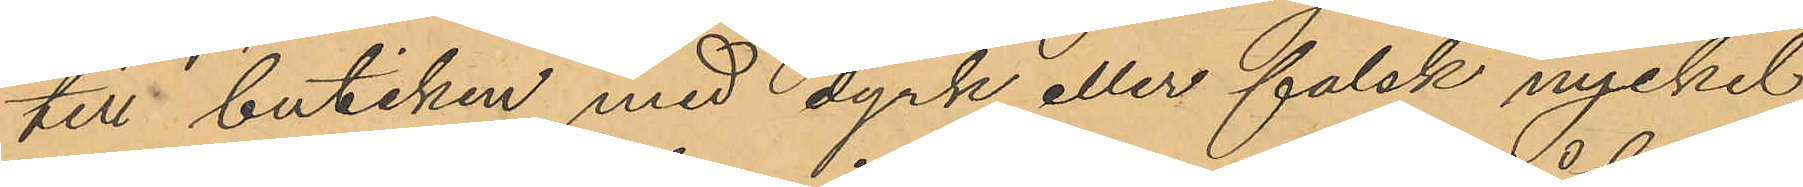till butiken med dyrk eller falsk nyckel,
